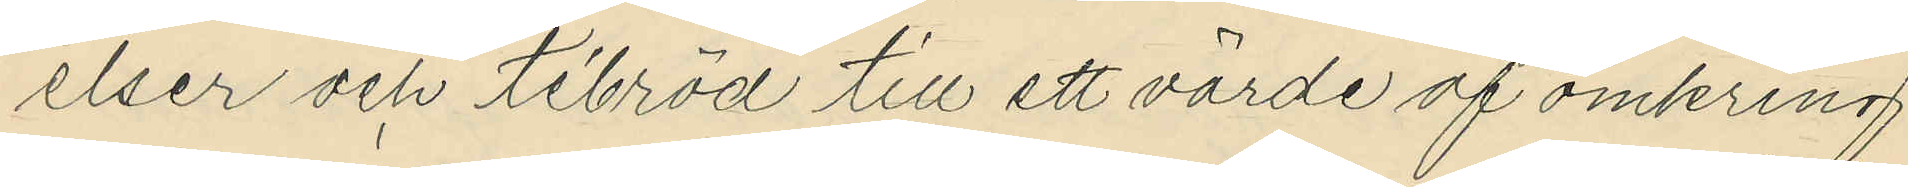elser och tébröd till ett värde af omkring
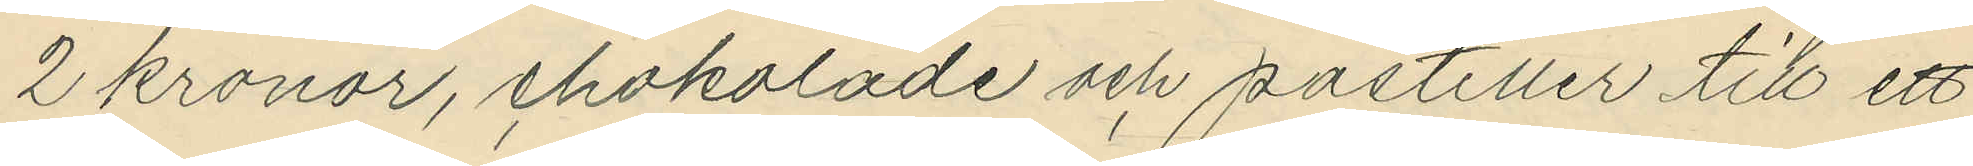2 kronor, chokolade och pastiller till ett
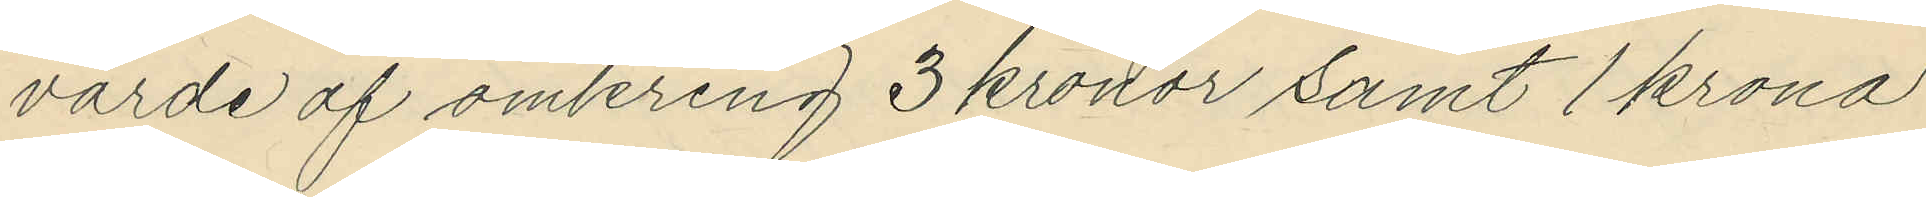värde af omkring 3 kronor samt 1 krona
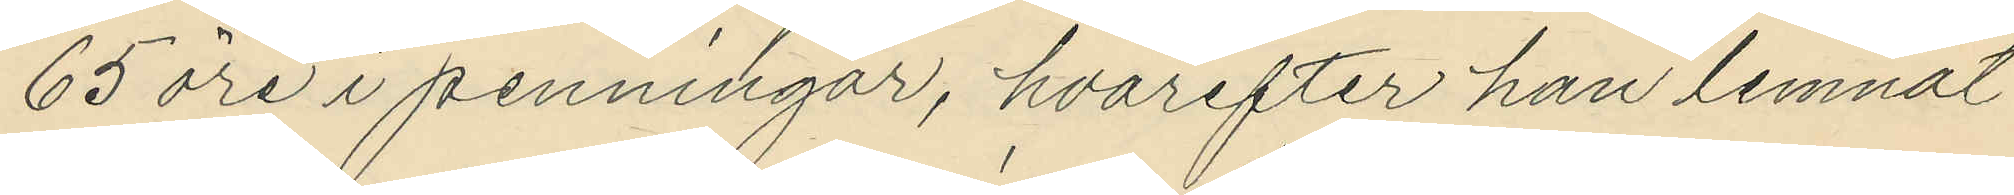65 öre i penningar, hvarefter han lemnat
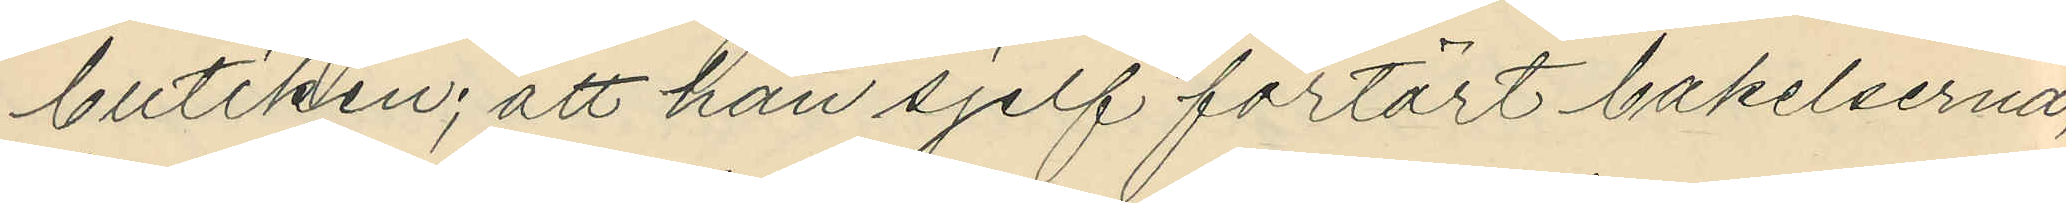butiken; att han sjelf förtärt bakelserna,
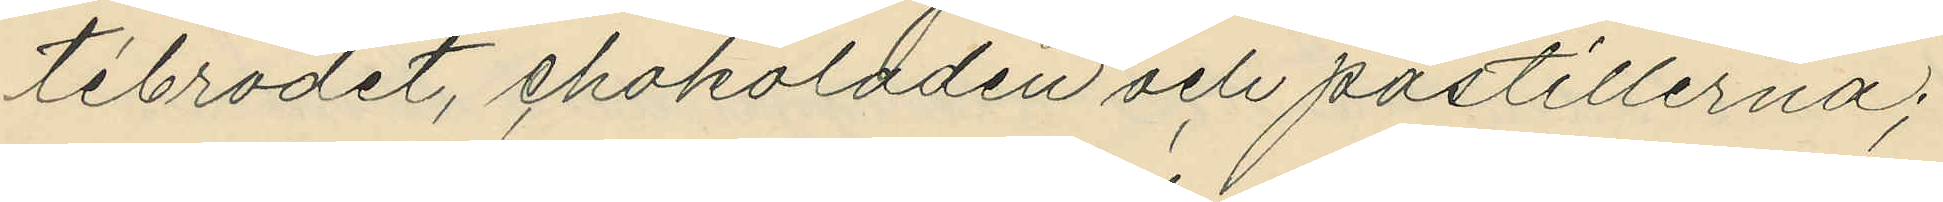tébrödet, chokoladen och pastillerna;
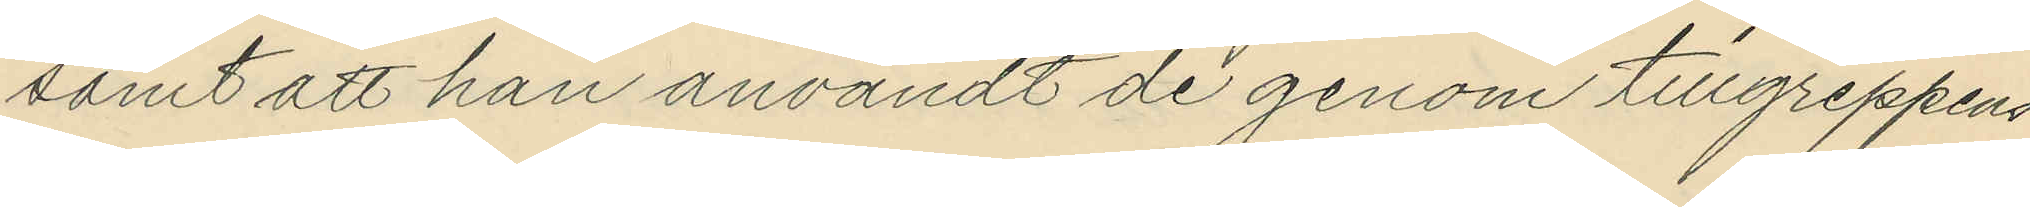samt att han användt de genom tillgreppens
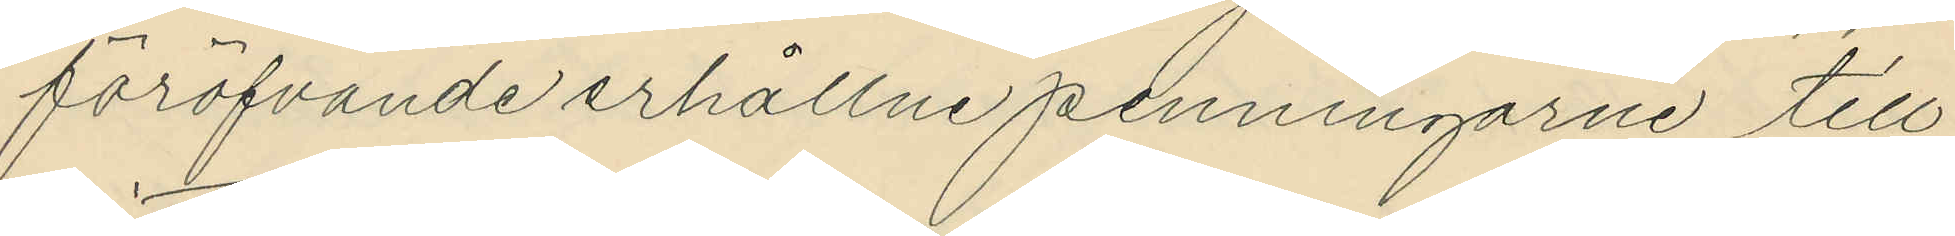föröfvande erhållne penningarne till
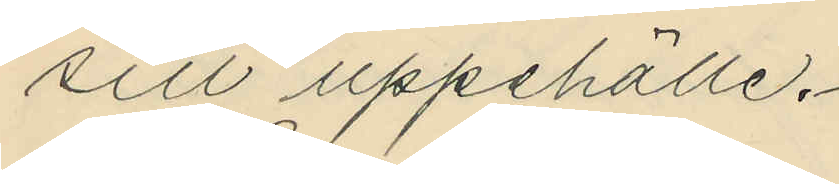sitt uppehälle.
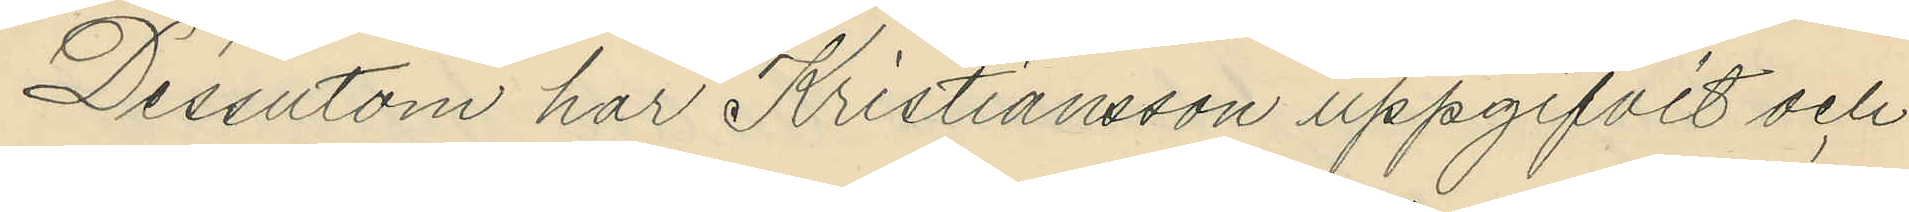Dessutom har Kristiansson uppgifvit och
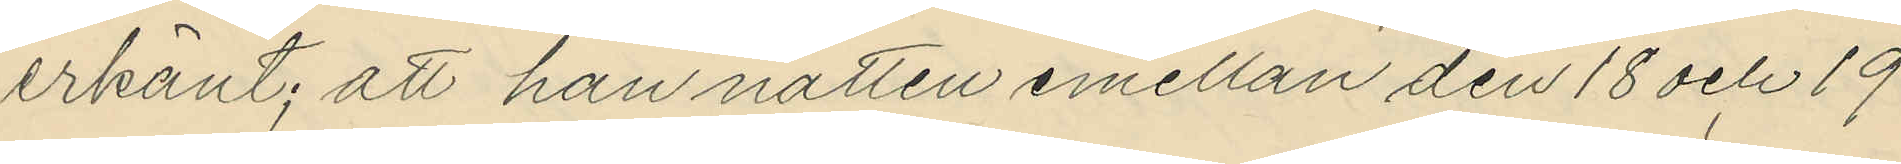erkänt; att han natten emellan den 18 och 19
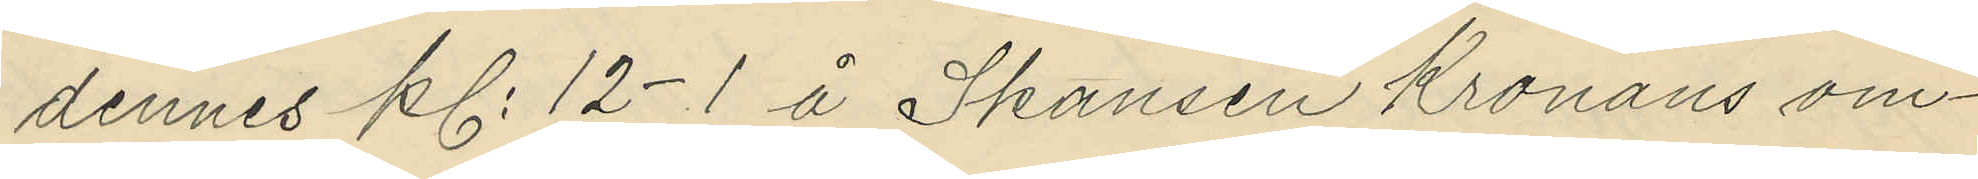dennes kl. 12-1 å Skansen Kronans om¬
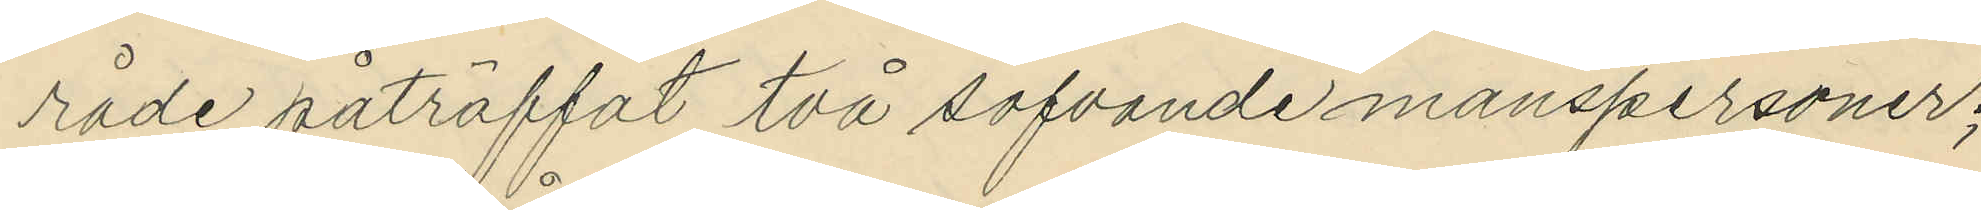råde påträffat två sofvande manspersoner;
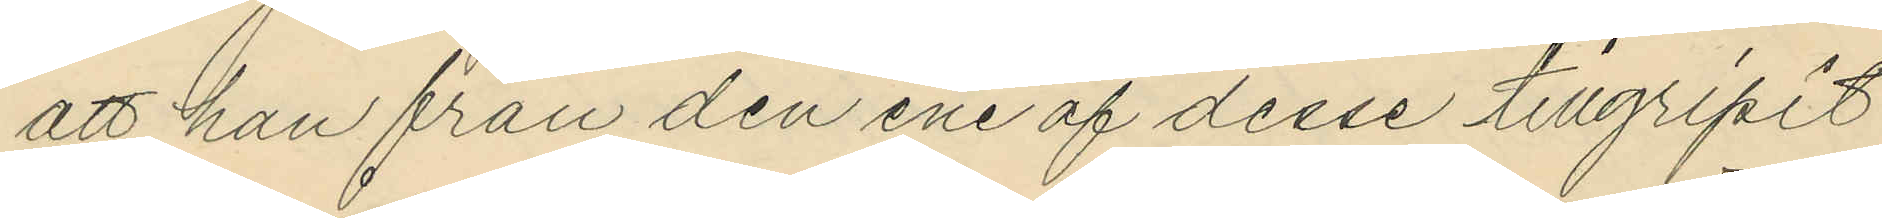att han från den ene af desse tillgripit
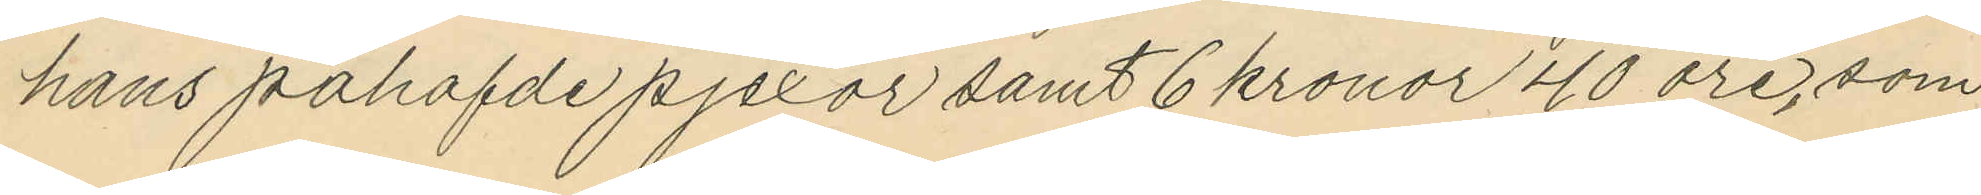hans påhafde pjexor samt 6 kronor 40 öre, som
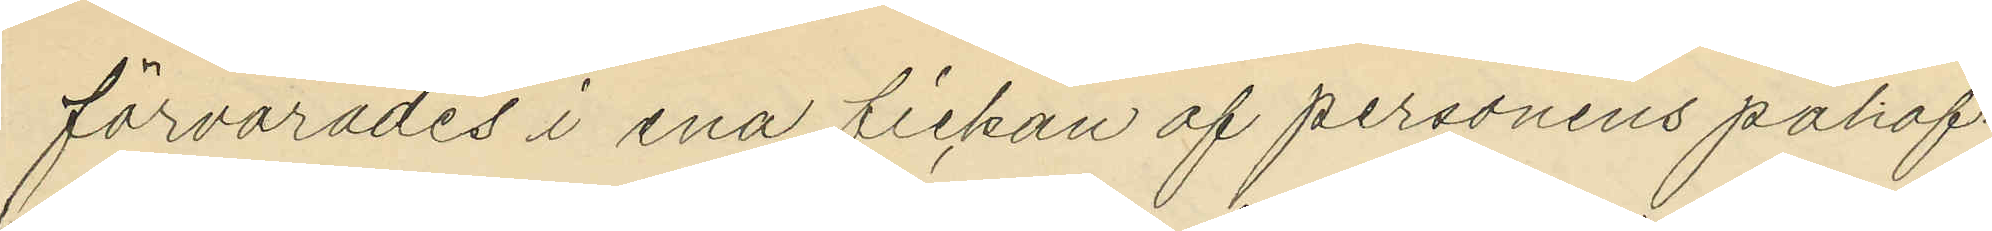förvarades i ena fickan af personens påhaf¬
